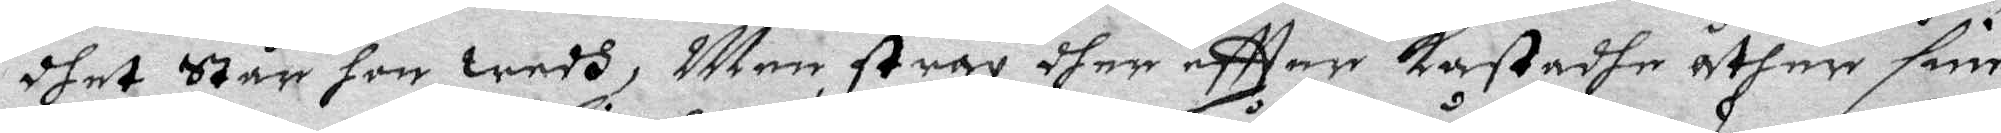dhet Står hon wedh, Men strax dher eftter Kastadhe åther sine
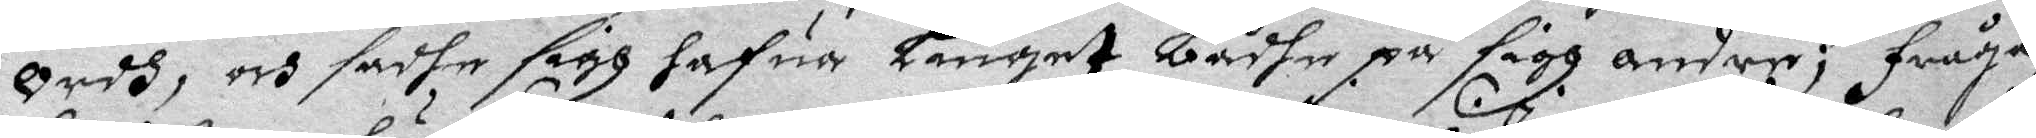Ordh, och sadhe sigh hafua Liuget bådhe på sigh andre; fråga¬
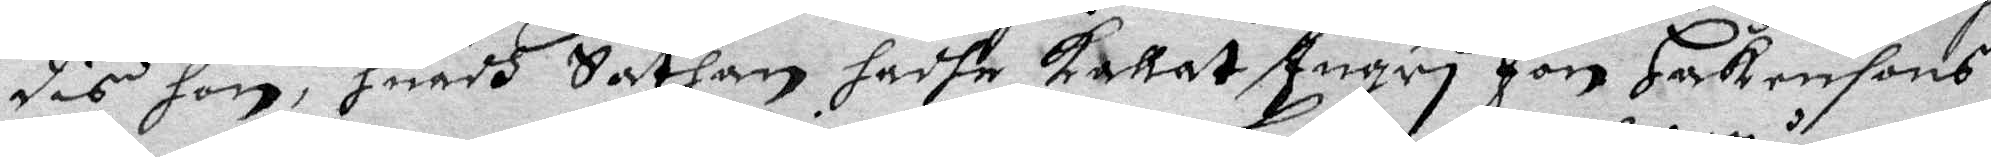des hon, huadh Sathan hadhe kallat Ingri Jon Håkansons
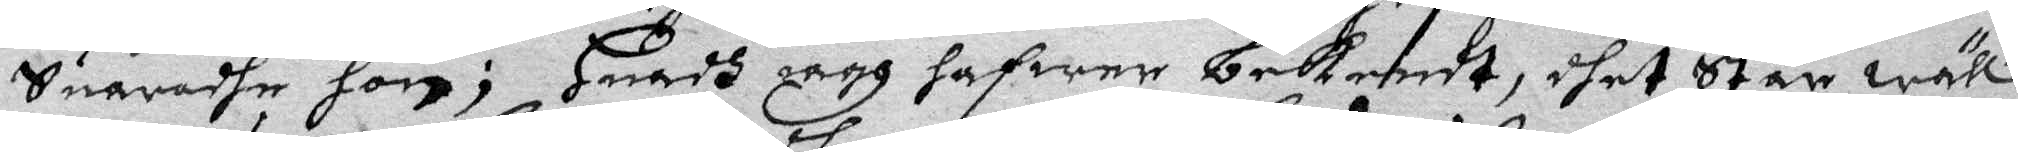Suaradhe hon; Huadh iagh hafwer bekendt, dhet Står wäll
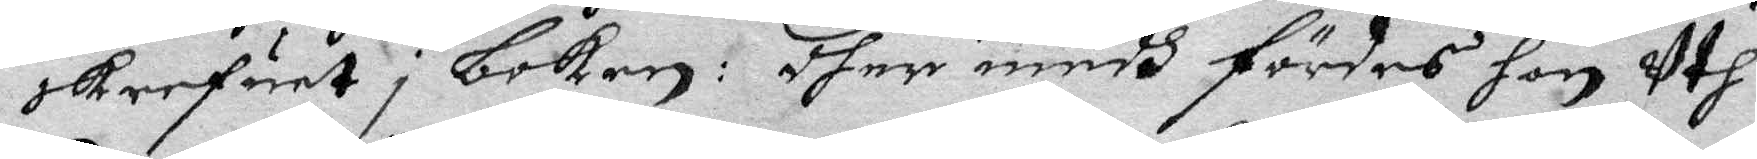skrefuet i Boken: dher medh fördes hon uth.
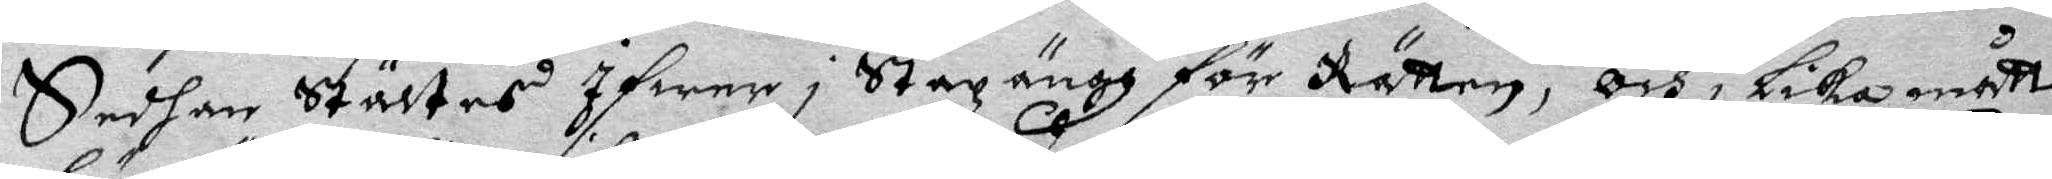sedhan Stältes Ifwer i Stazängz för Rätten, och i Lika måtto
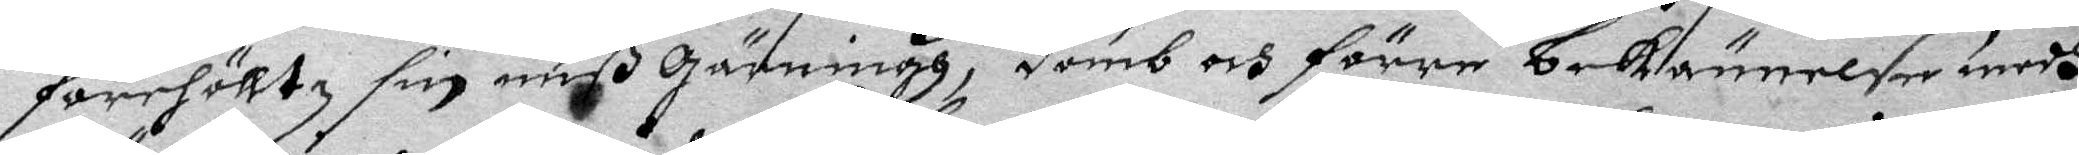förehölltz sin mißgärning, domb och förre bekännelse medh
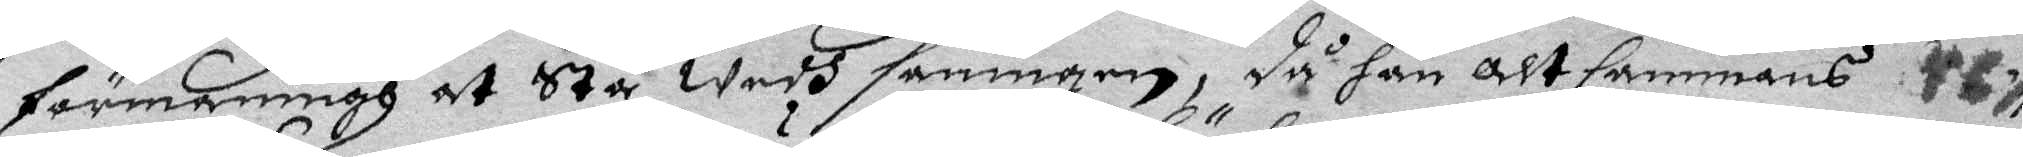förmaningh at Stå Wedh sanningen, då han altsammans
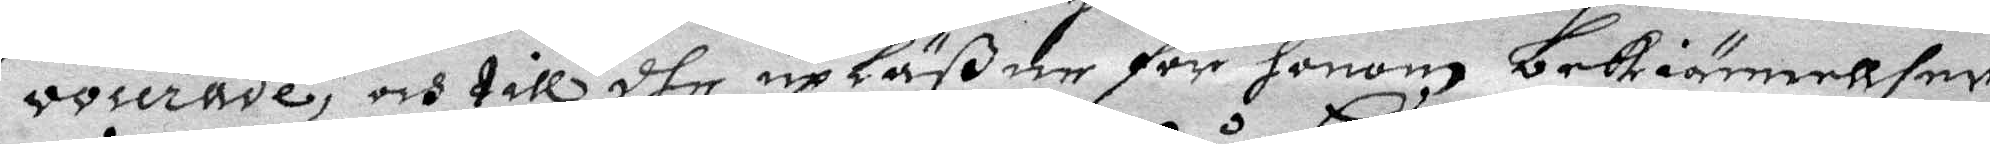voserade, och till dhe upläßne för honom bekiännellser,
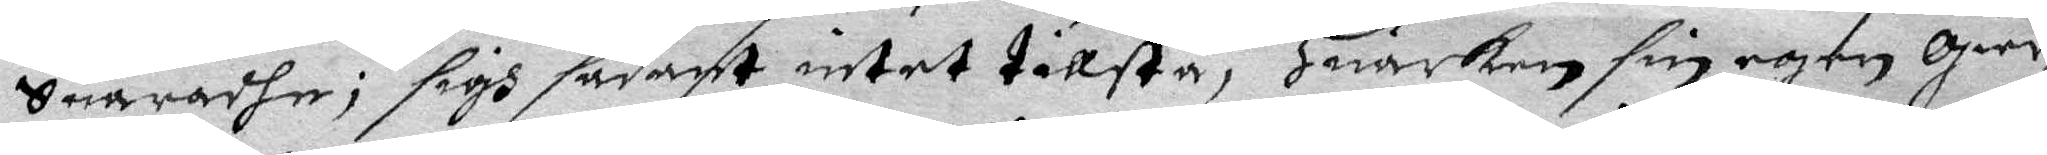Suaradhe; sigh sådant intet tillstå, Huarken sin egen Gier¬
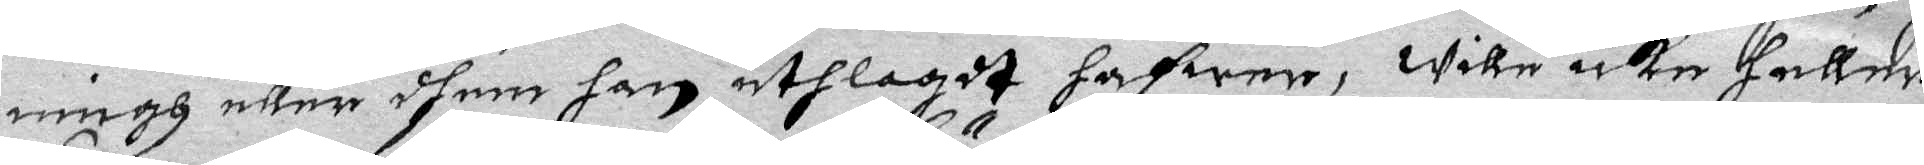ning eller dhem han uthlagdt hafwer, wille icke heller
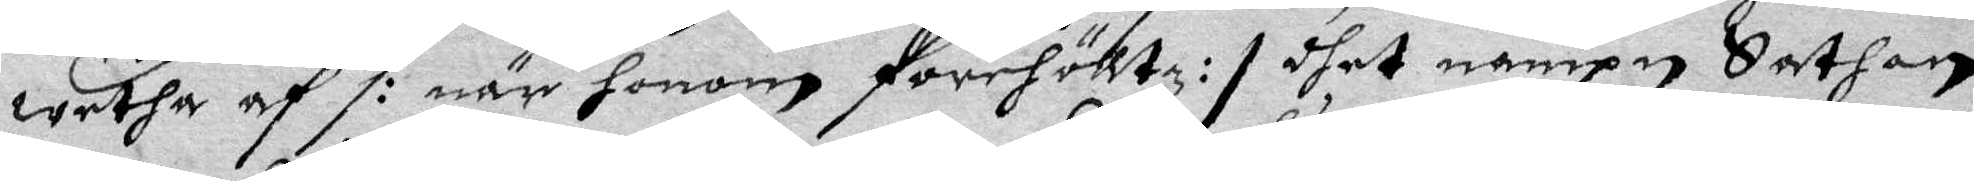wetha  af /: när honom förehölltz :/ dhet nampn Sathan
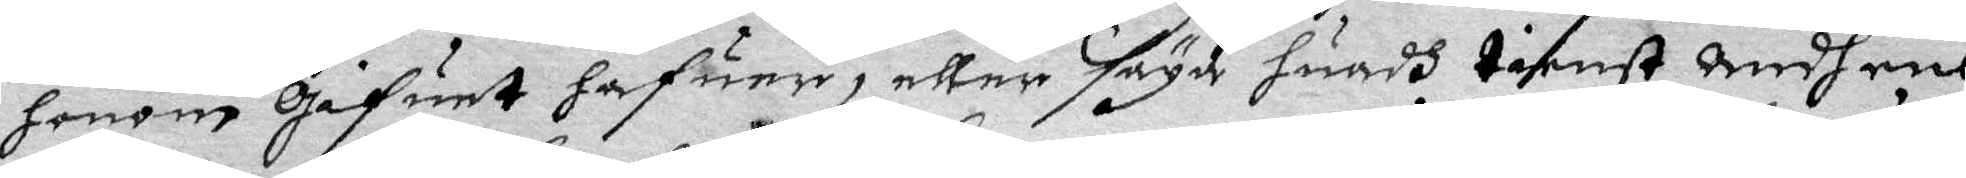honom gifuet hafuer, eller säga huadh tienst wedh ens
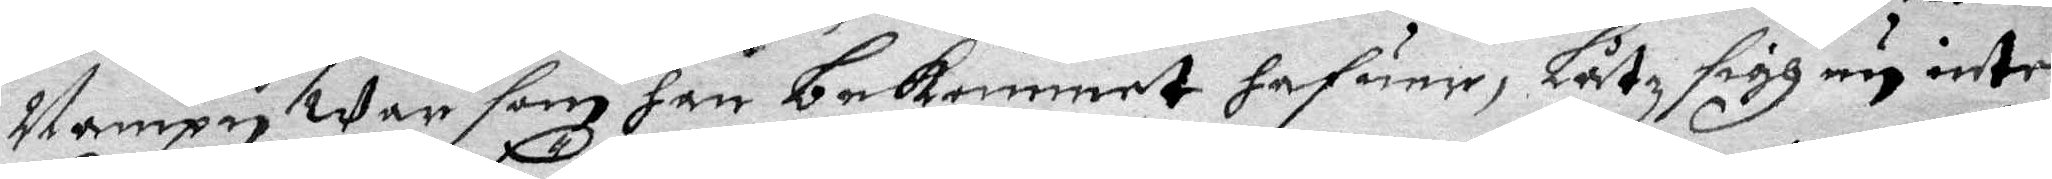Nampn War som han bekommet hafuer, Låtz sigh nu inte
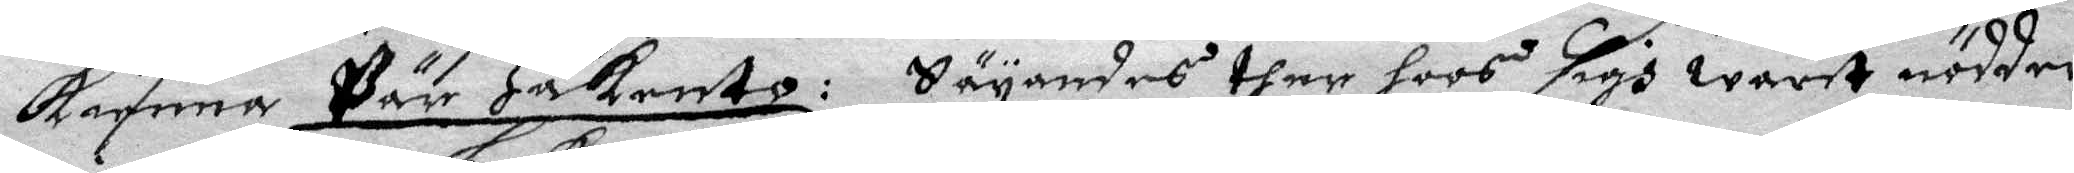kienna Pär Häkrento: Säyandes ther hoos sigh warit nödder
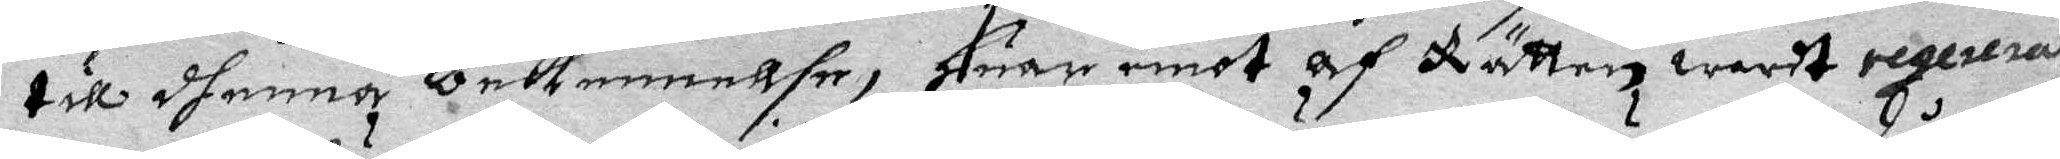till dhenna bekennelse, Huar emot af Rätten warit reglerat
